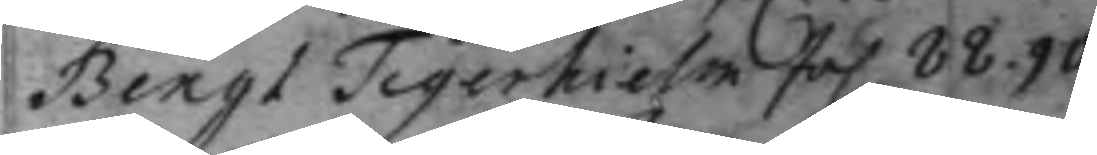Bengt Tigerhielm fol. 88. 90.
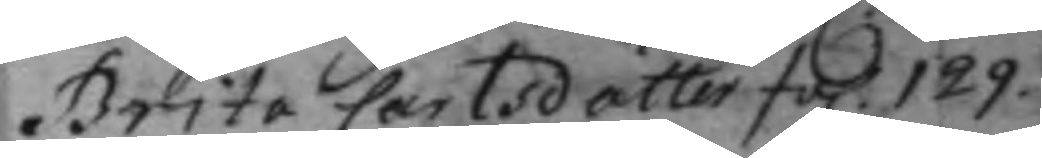Brita Carlsdotter fol. 129.
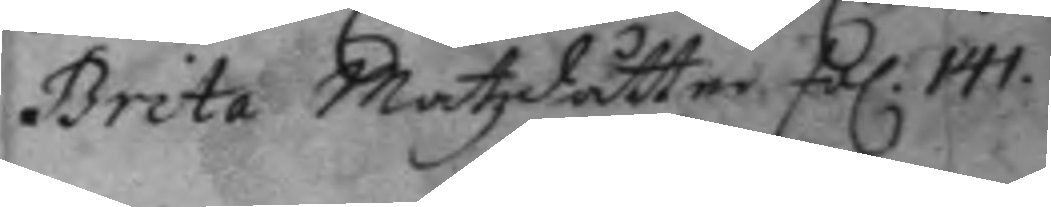Brita Matzdåtter fol 141.
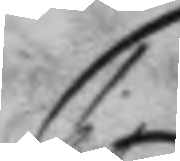C.
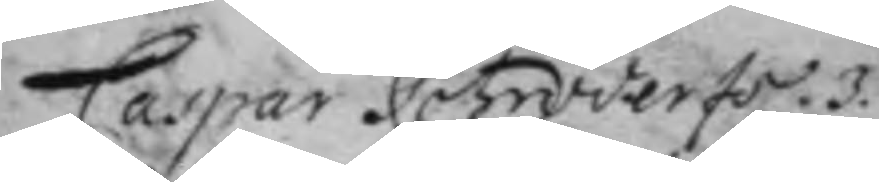Caspar Solmöder fol. 3.
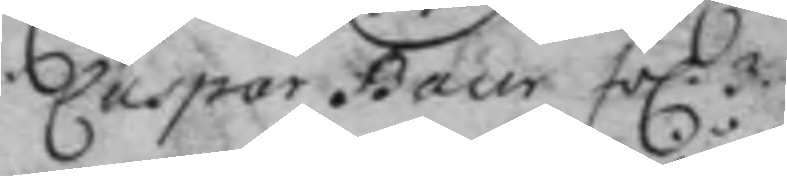Caspar Baur fol. 3.
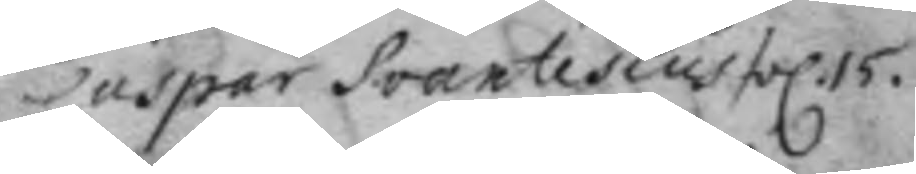Caspar Soartesius fol. 15.
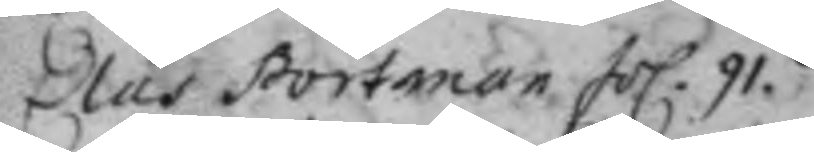Clas Portman fol. 91.
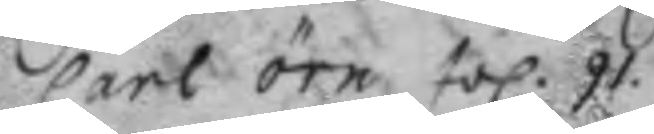Carl örn fol. 91.
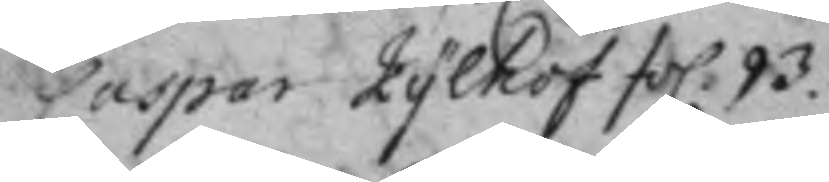Caspar Kylhof fol. 93.
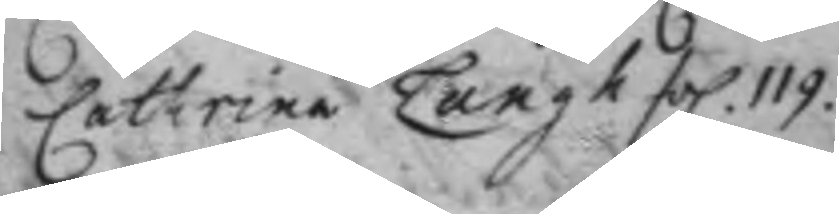Cathrina Langh fol. 119.
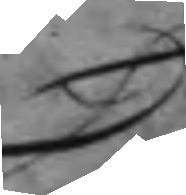D.
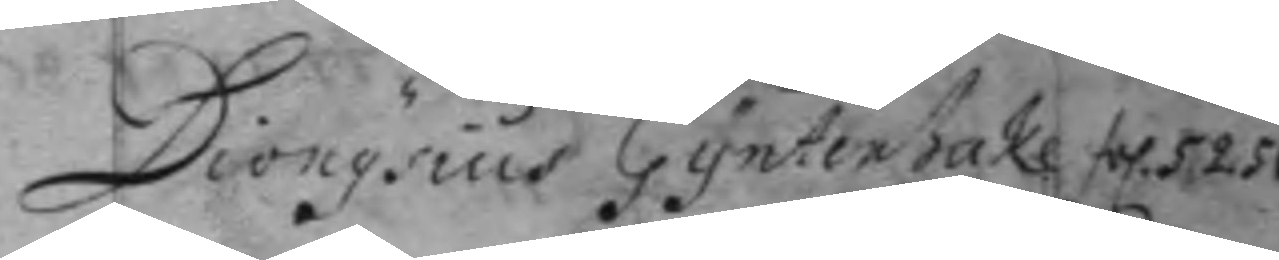Dionysius Gynterhake fol. 52. 56.
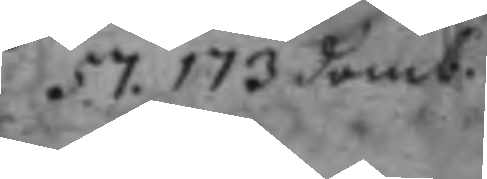57. 173 domb.
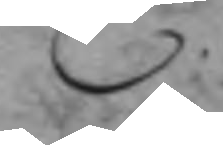E.
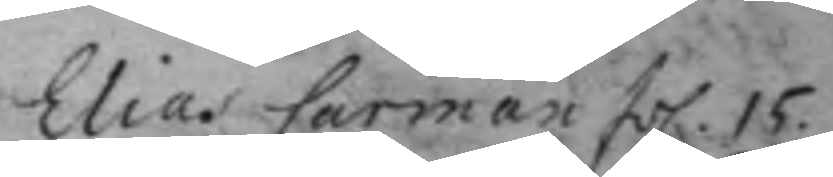Elias Carman fol. 15.
